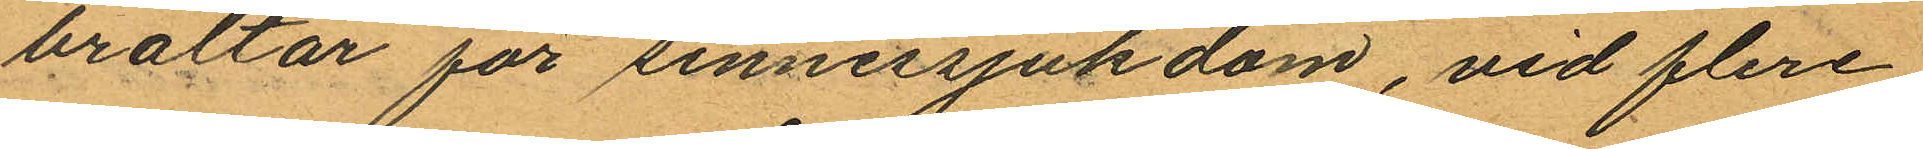braltar för sinnessjukdom, vid flere
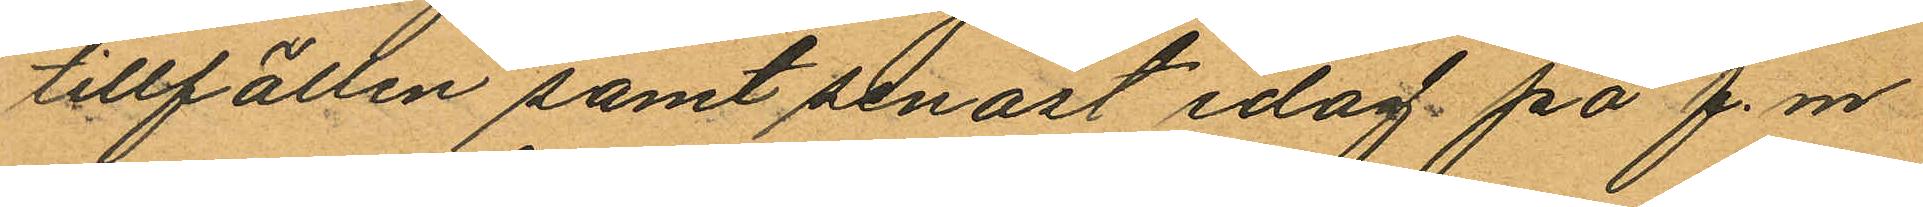tillfällen samt senast idag på f.m.
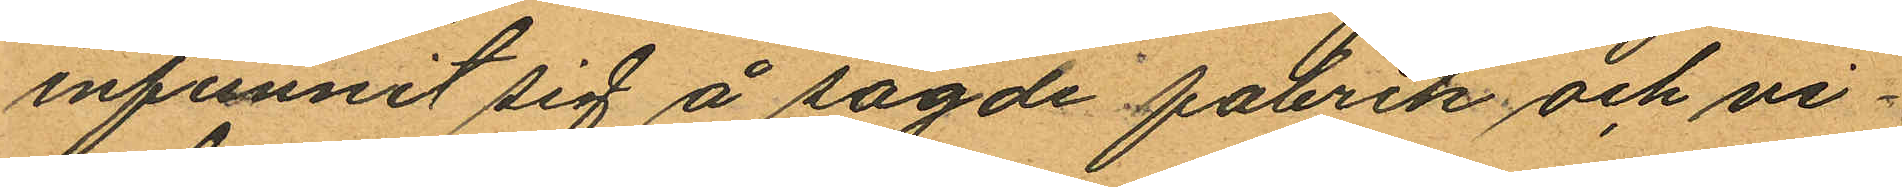infunnit sig å sagde fabrik och vi¬
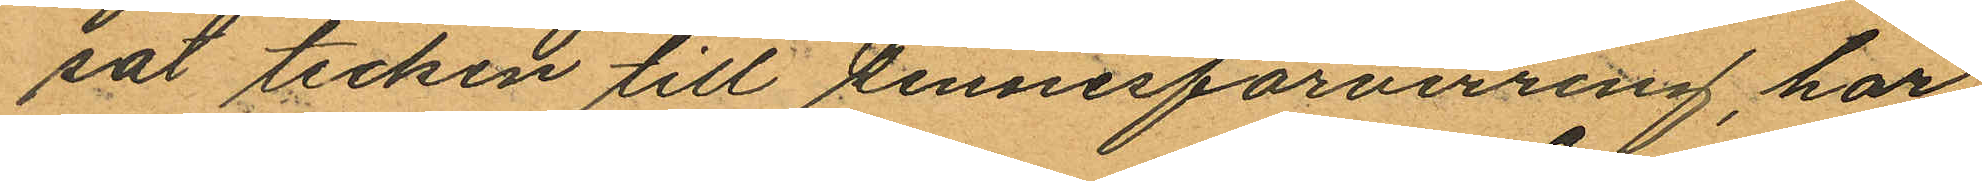sat tecken till sinnesförvirring, har
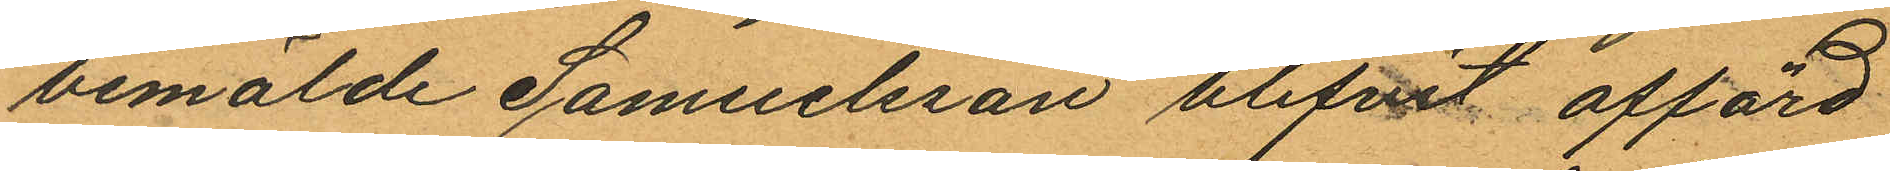bemälde Samuelsson blifvit afförd
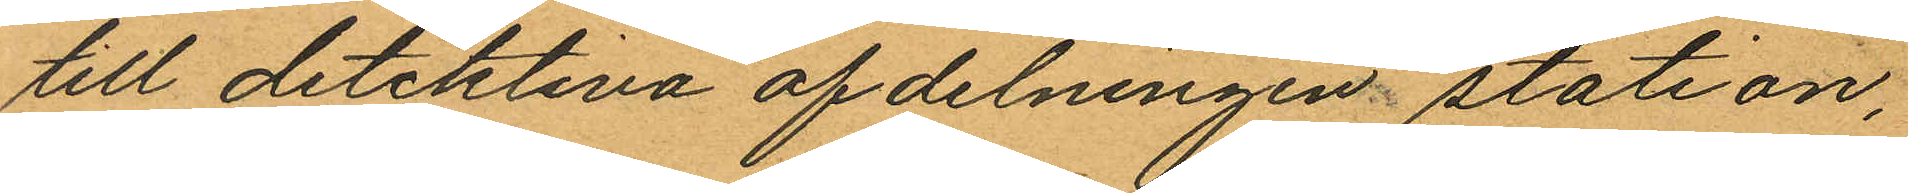till detektiva afdelningen station,
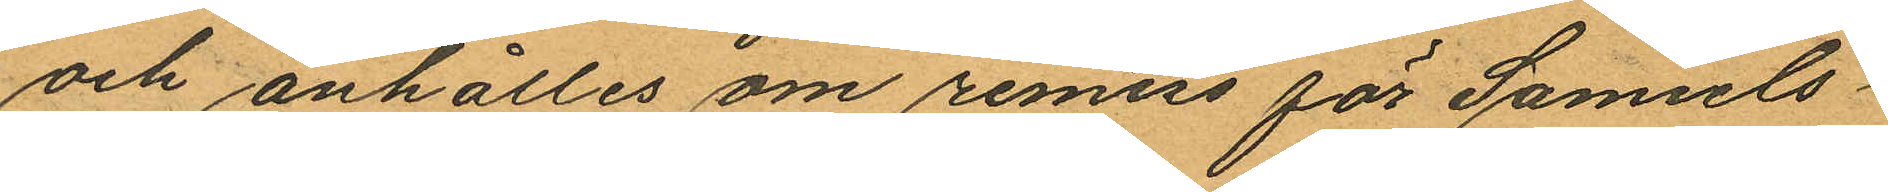och anhålles om remiss för Samuels¬
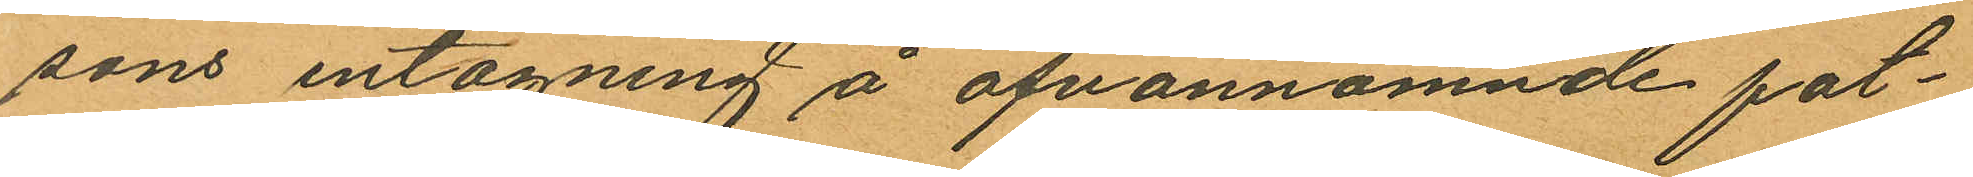sons intagning å ofvannämnde fat¬
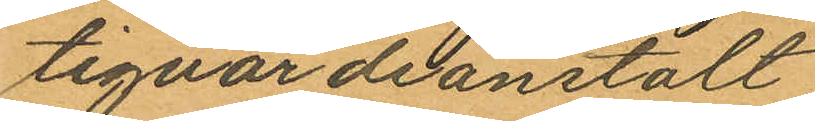tigvårdsanstalt
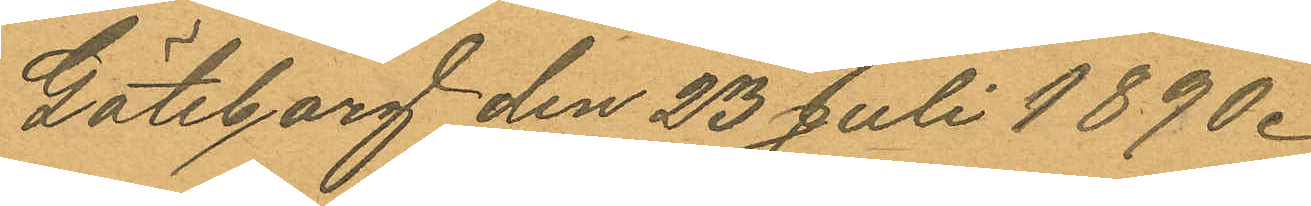Göteborg den 23 Juli 1890.
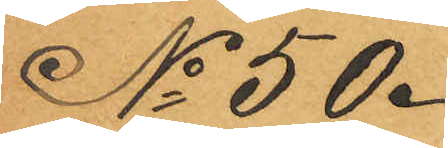No 50.
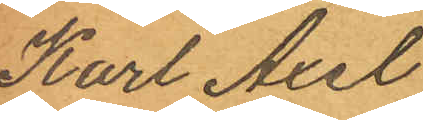Karl Axel
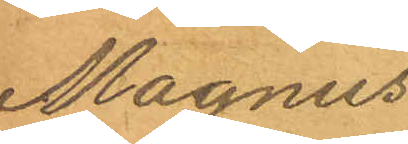Magnus
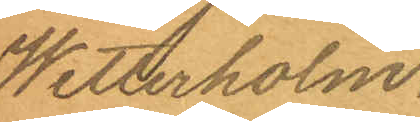Wetterholm.
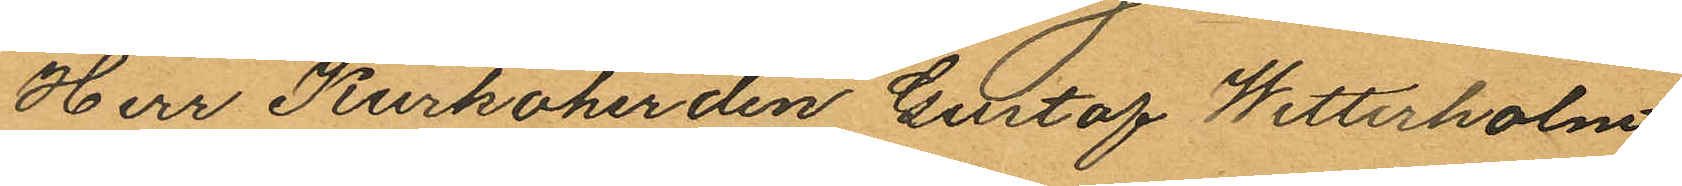Herr Kurkoherden Gustaf Wetterholm
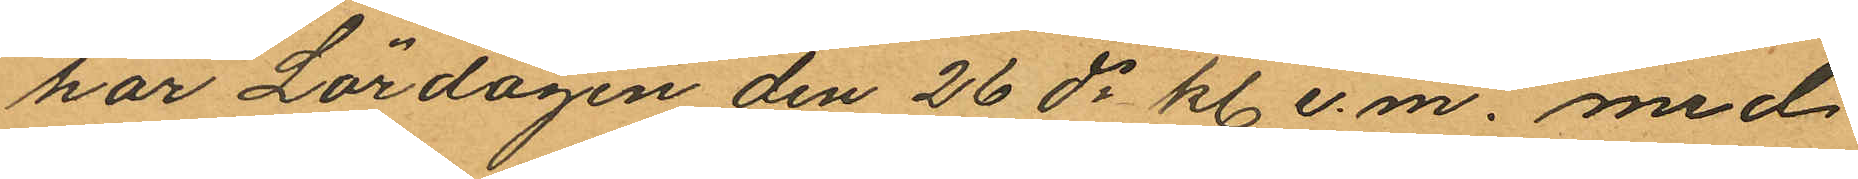har Lördagen den 26 ds kl. e. m. med
